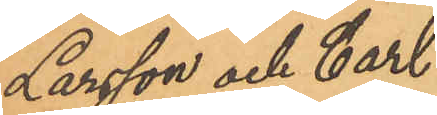Larsson och Carl
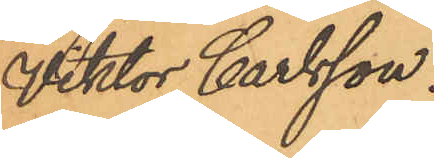Viktor Carlsson.
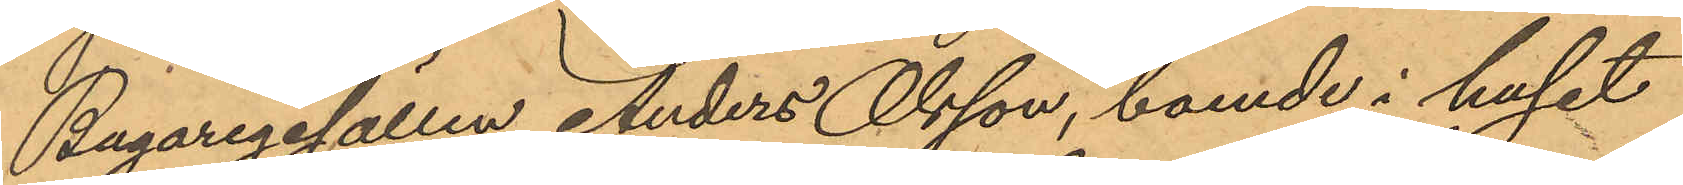Bagaregesällen Anders Olsson, boende i huset
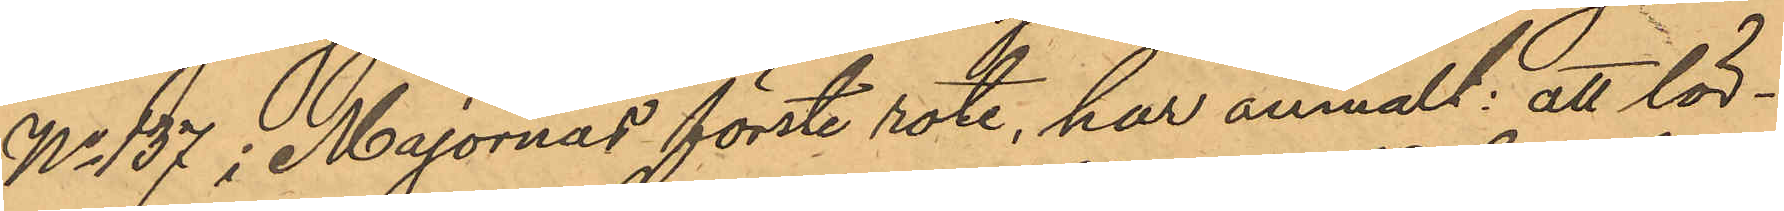No 137 i Majornas förste rote, har anmält, att lör¬
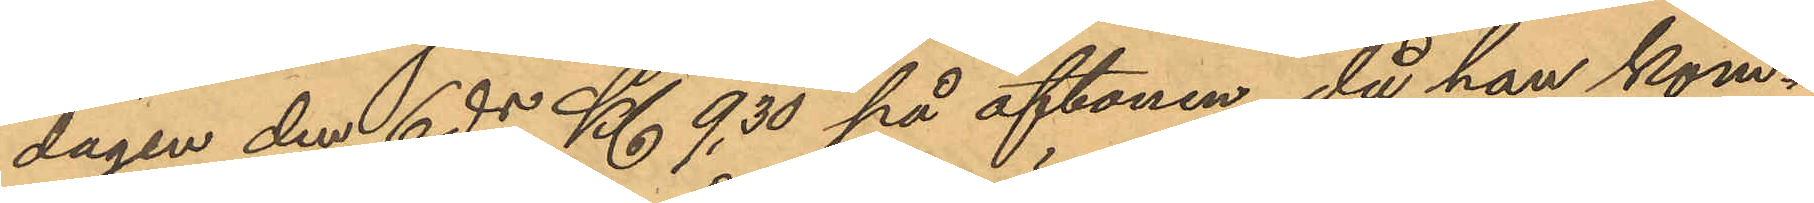dagen den 6 ds Kl. 9,30 på aftonen, då han kom¬
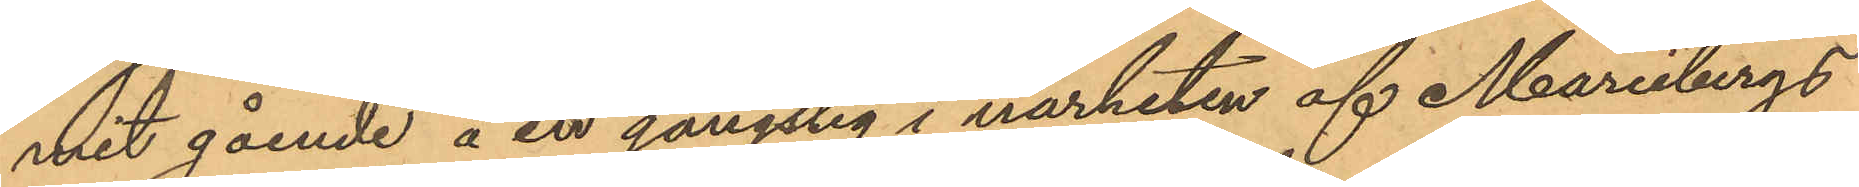mit gående å en gångstig i närheten af Mariebergs
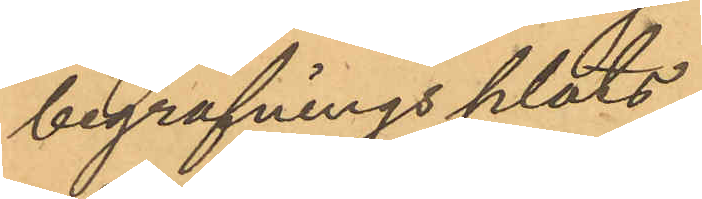begrafningsplats,
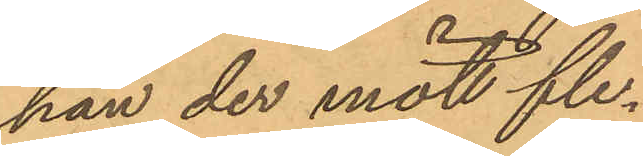han der mött fle¬
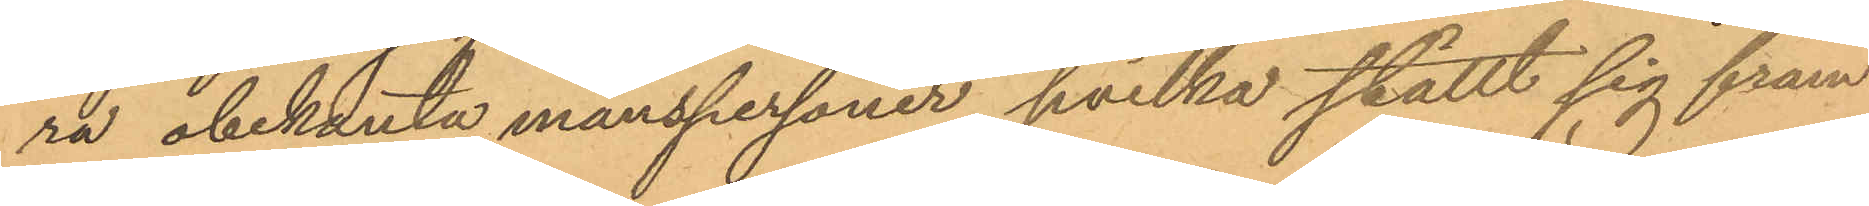ra obekanta manspersoner, hvilka ställt sig fram¬
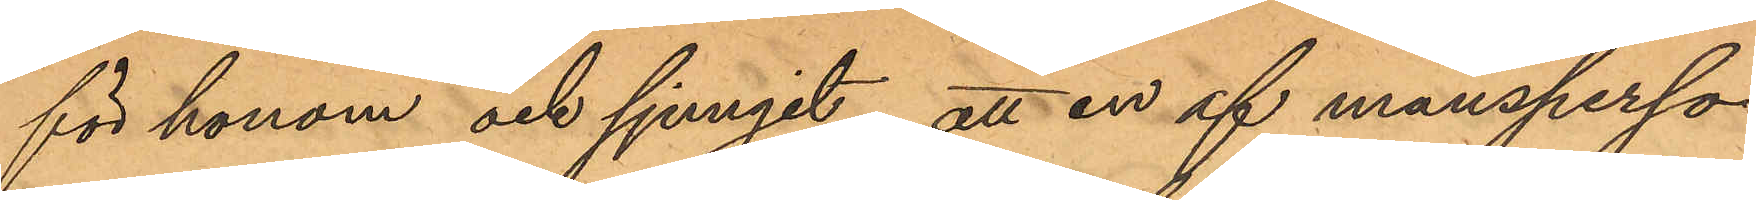för honom och sjungit; att en af mansperso¬
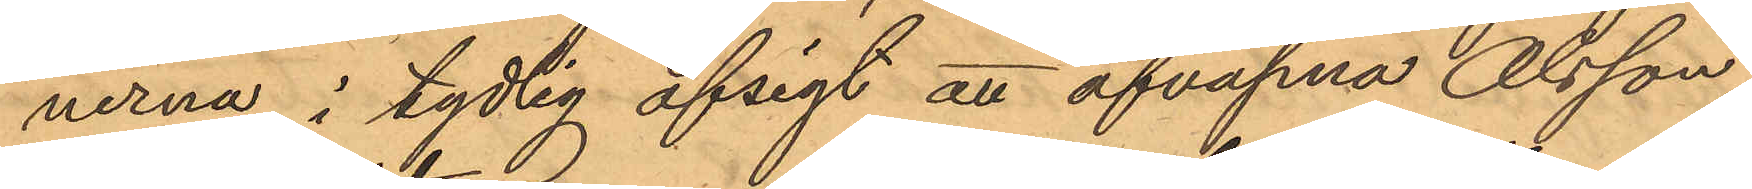nerna i tydlig afsigt att afväpna Olsson,
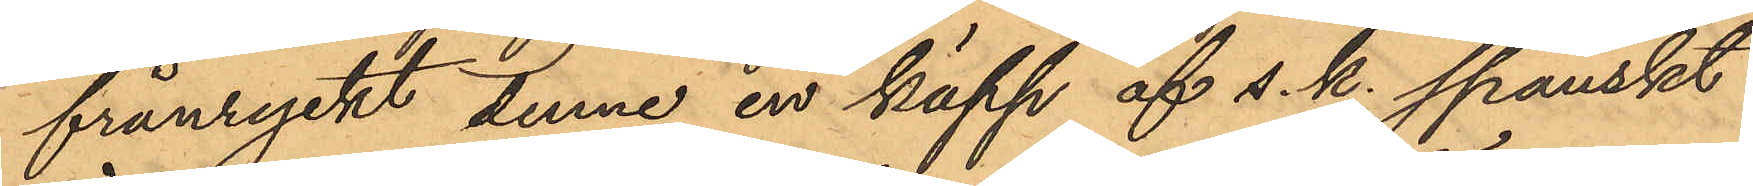frånryckt denne en käpp af s. k. spanskt
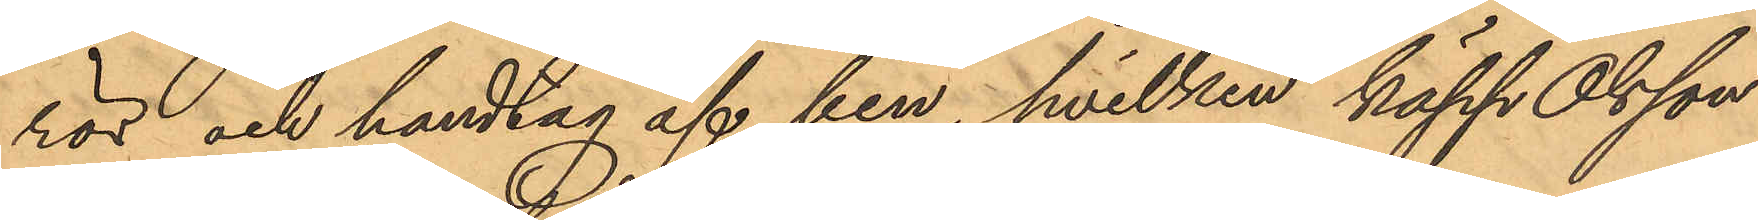rör och handtag af ben, hvilken käpp Olsson
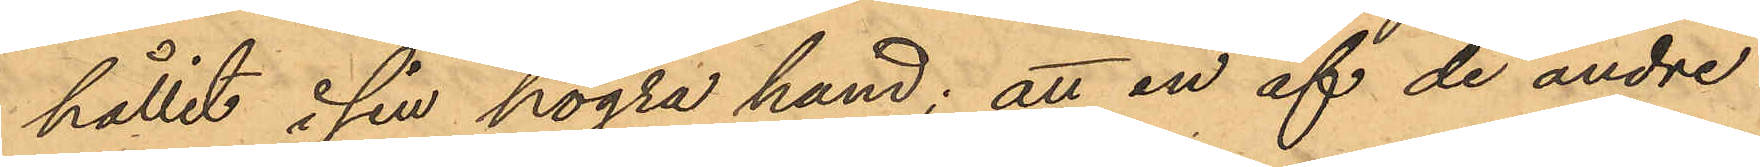hållit i sin högra hand; att en af de andre
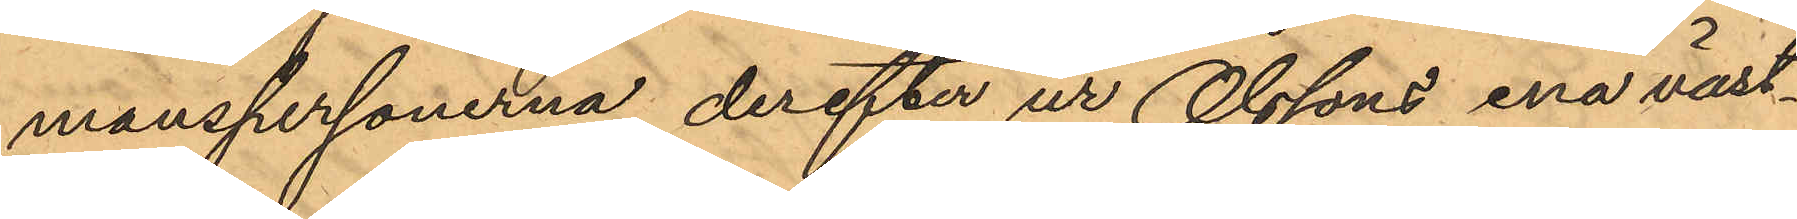manspersonerna derefter ur Olssons ena väst¬
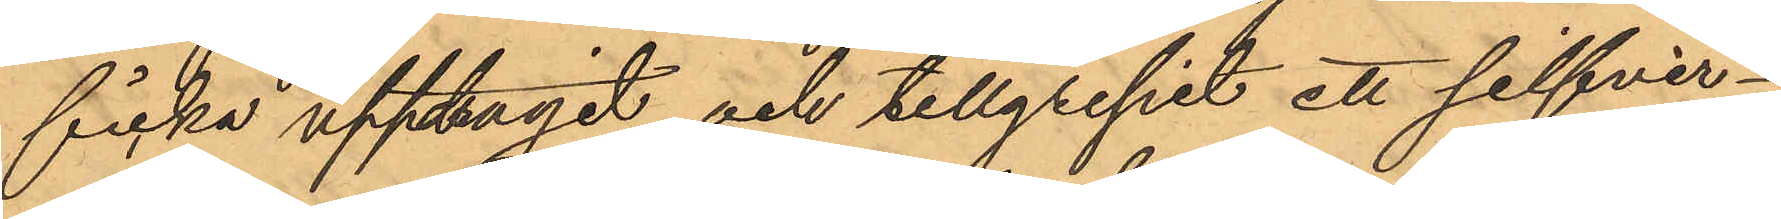ficka upptagit och tillgripit ett silfver¬
